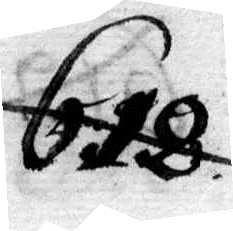618.
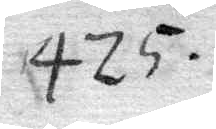425.
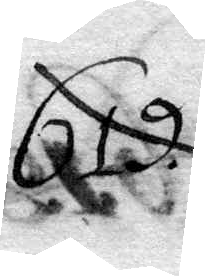619.
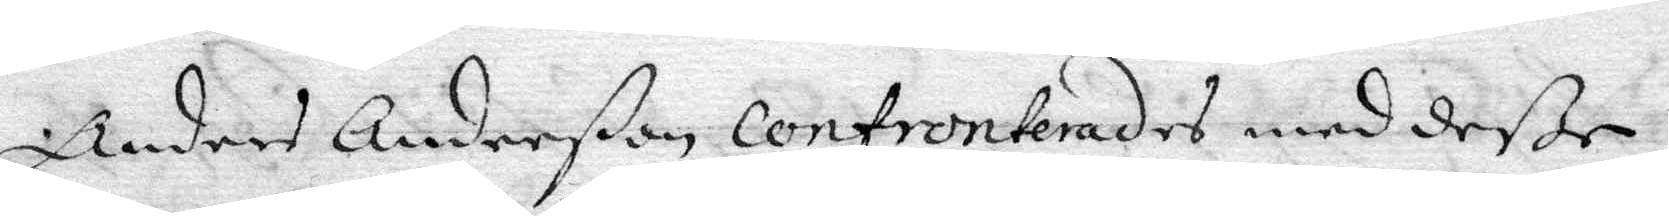Anders Anderßon Confronterad med deße
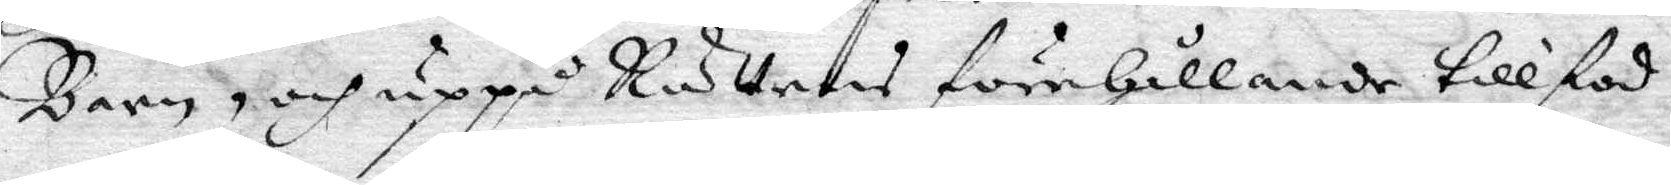Barn, och uppå Rättens förehållande tillstod
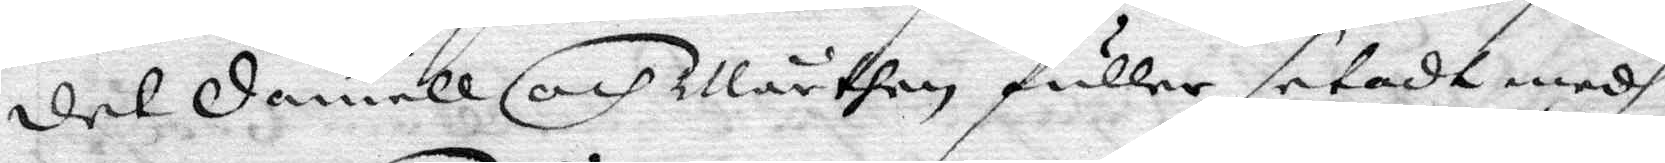det Daniell och Mårthen fuller setadt medh
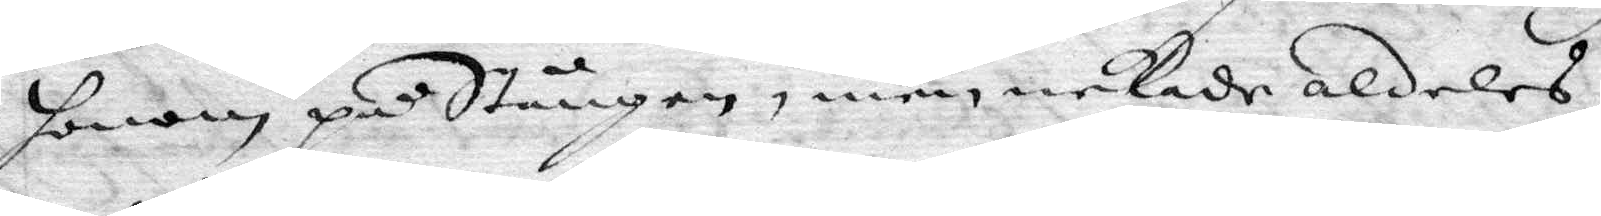honom på Stången, men nekade aldeles
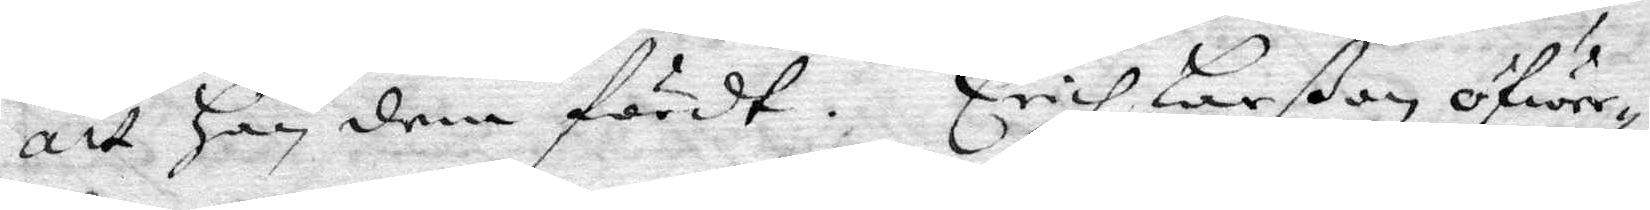att han dem fördt. Erich Larßon öfwer¬
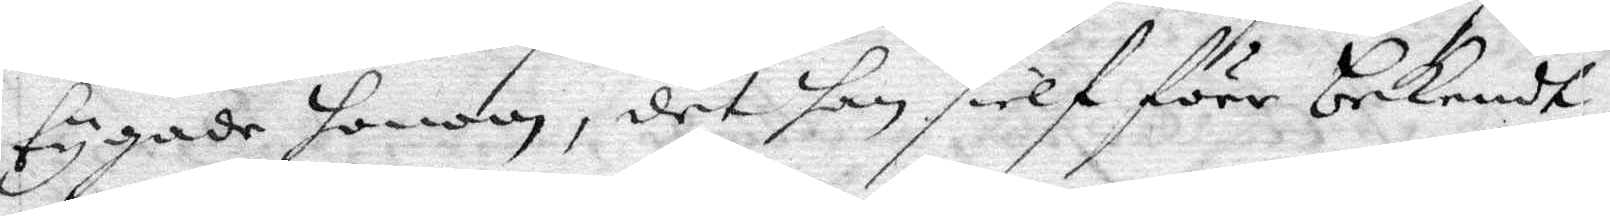tygade honom, det han sielf förr bekendt,
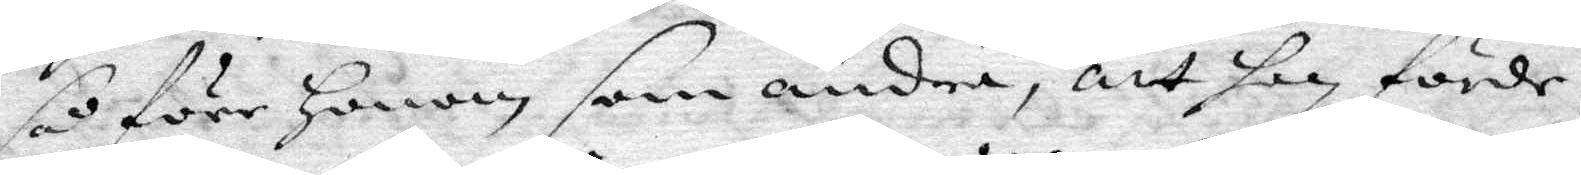så före Honom som andra, att han förde
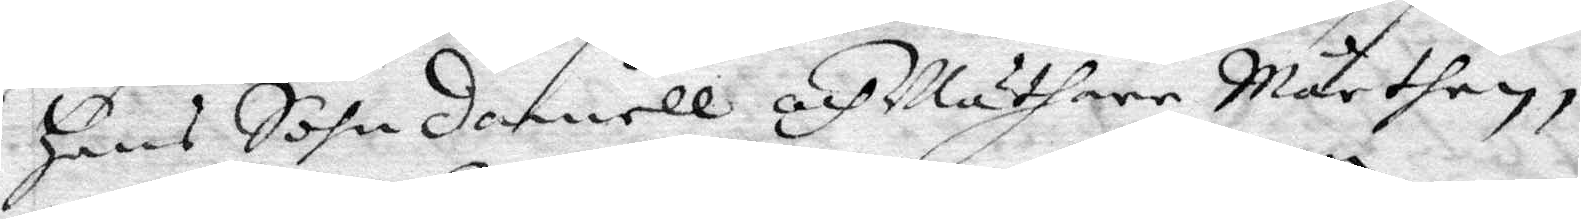Hans Sohn Daniell och Mäthare Mårthen,
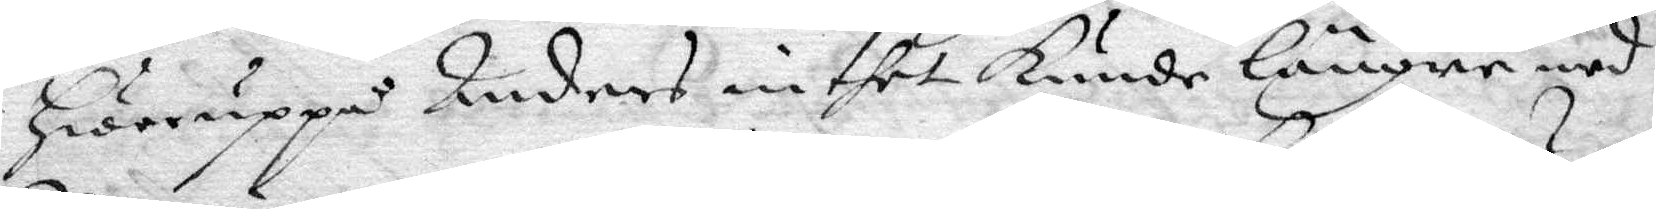Hwaruppå Anders inthet Kunde längre med
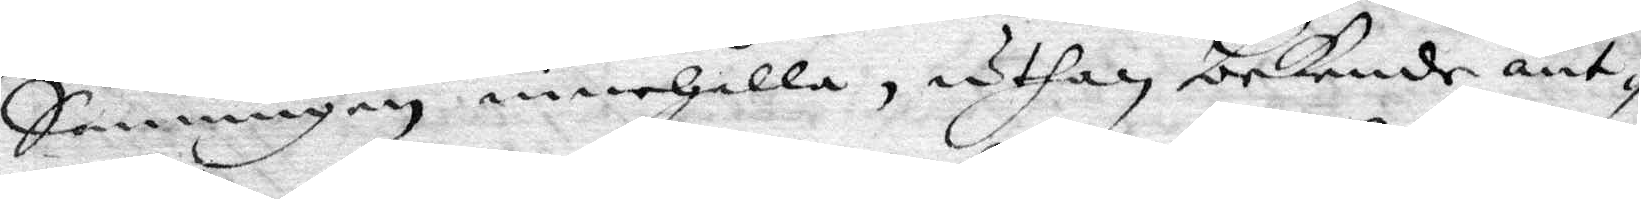Sanningen innehålla, uthan bekende änt¬
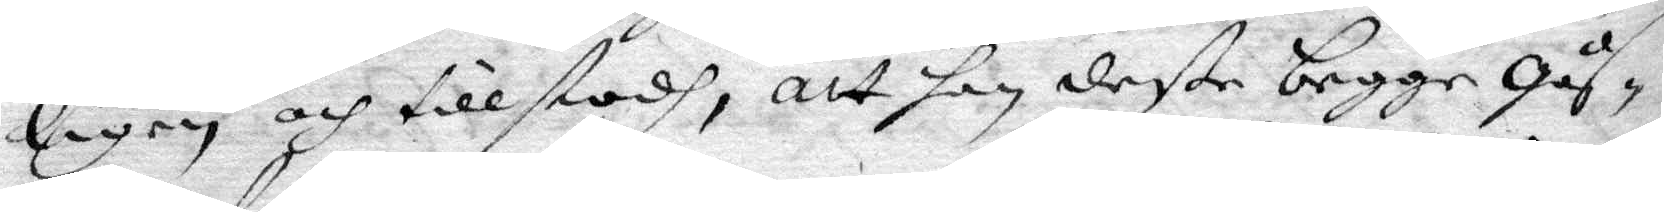ligen och tillstodh, att han deße begge gås¬
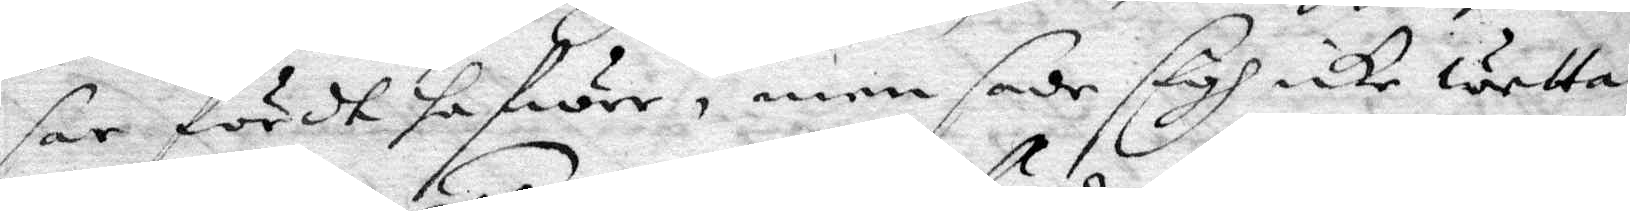sar fördt hafwer, men sade sigh icke wetta
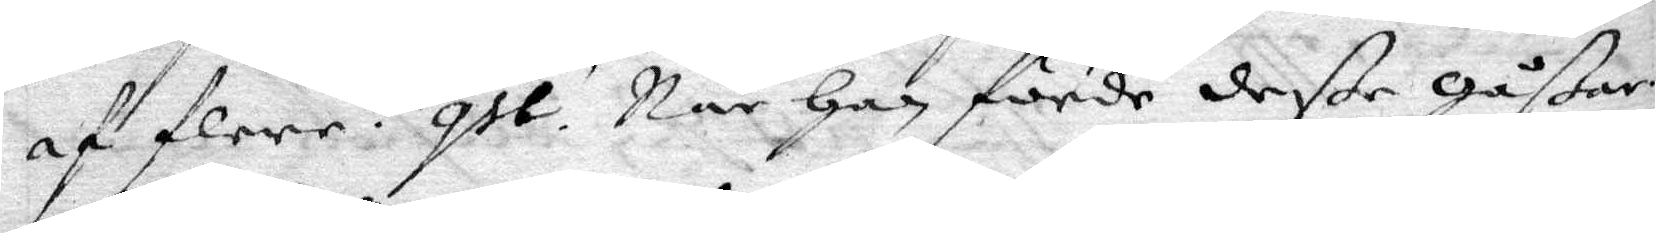af flere. qst. När Han förde deße gåßar
